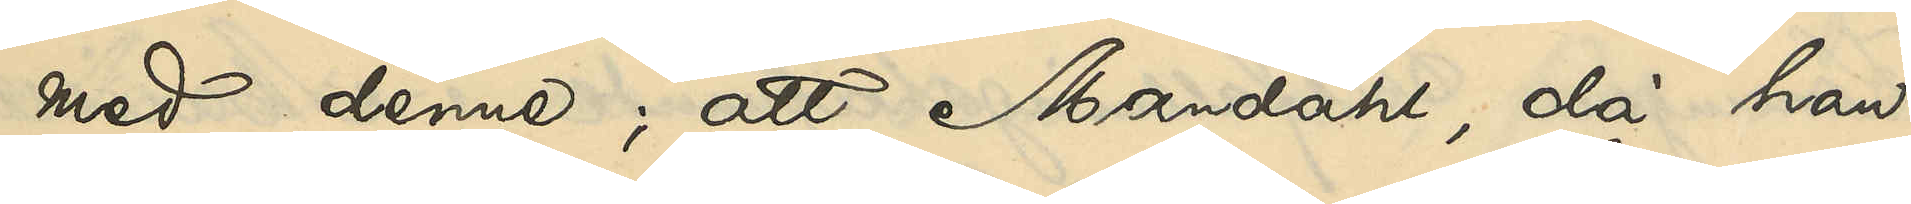med denne; att Mandahl, då han
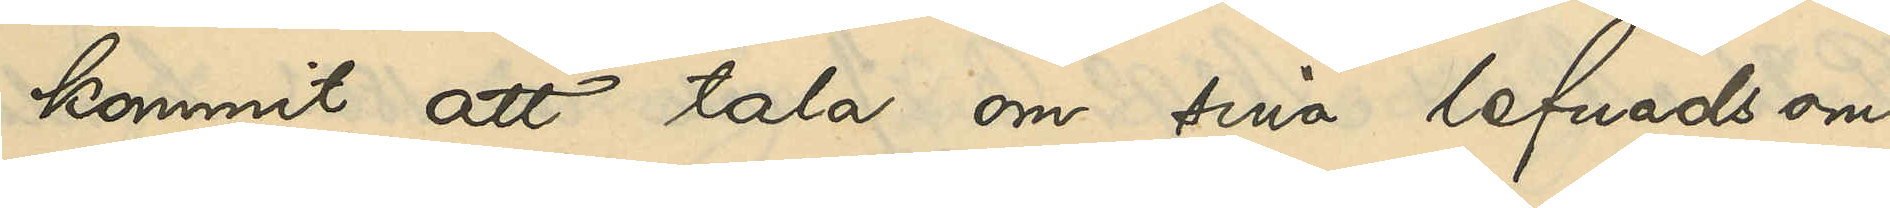kommit att tala om sina lefnadsom¬
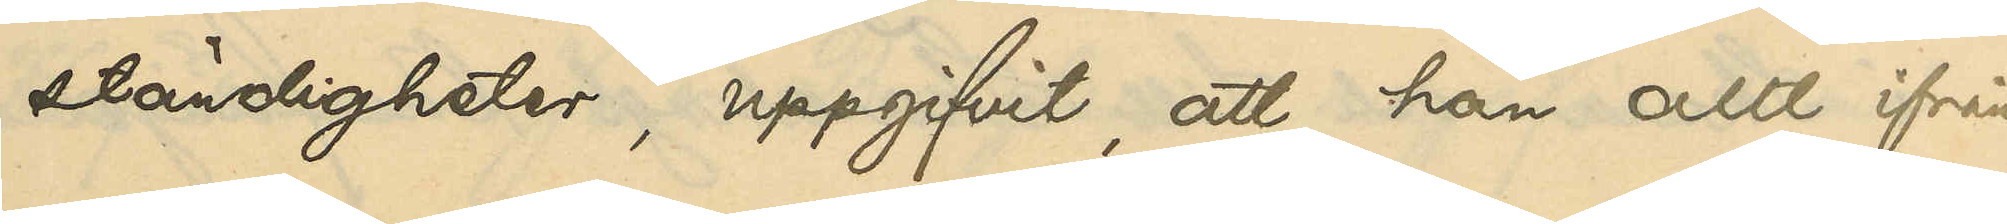ständigheter, uppgifvit, att han allt ifrån
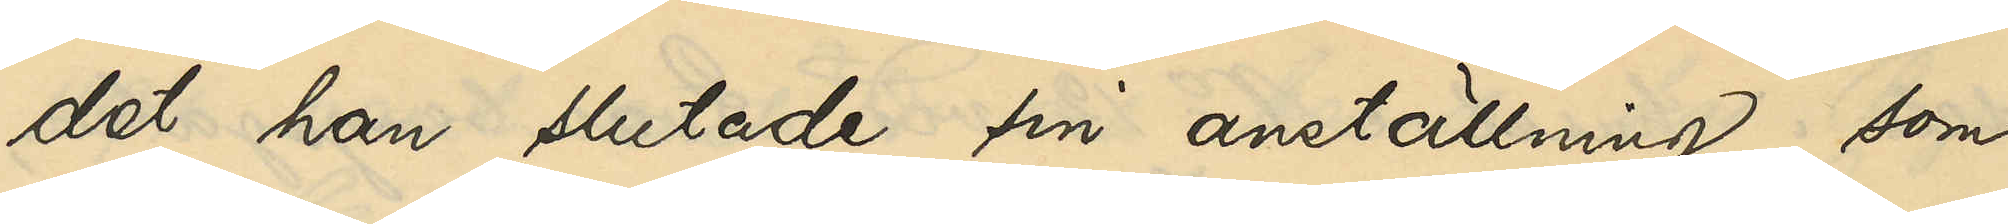det han slutade sin anställning som
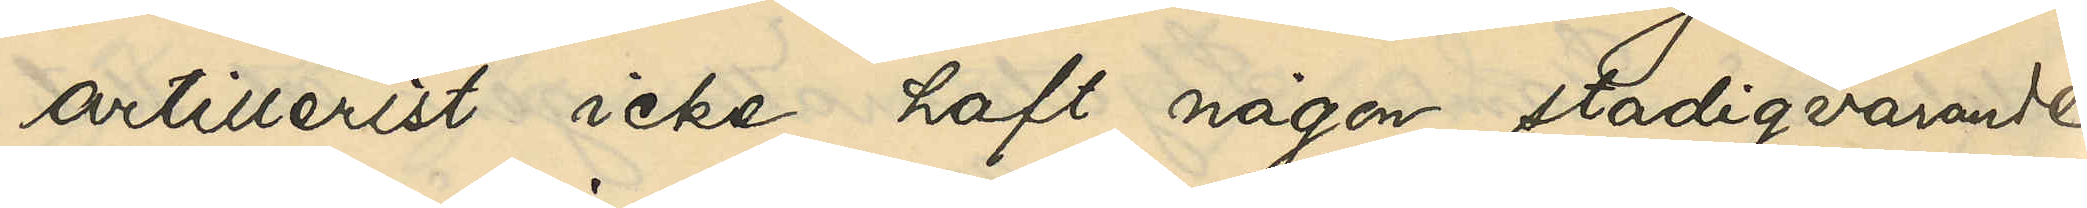artillerist icke haft någon stadigvarande
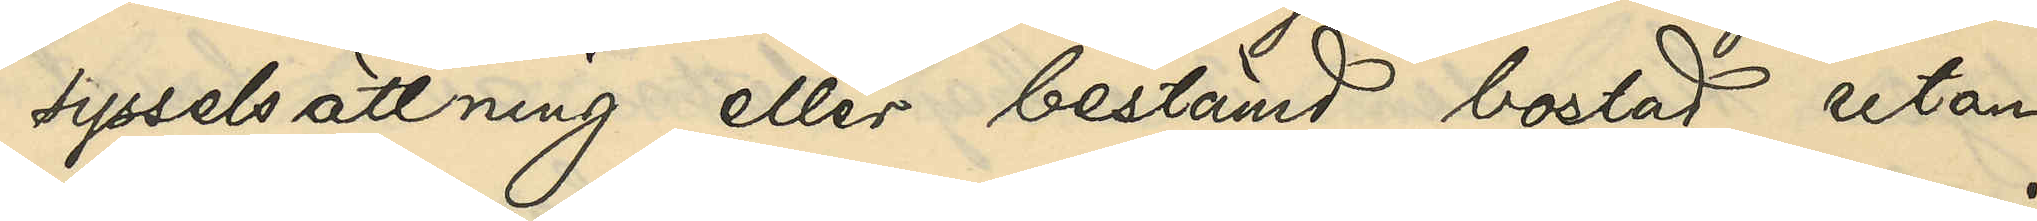sysselsättning eller bestämd bostad utan
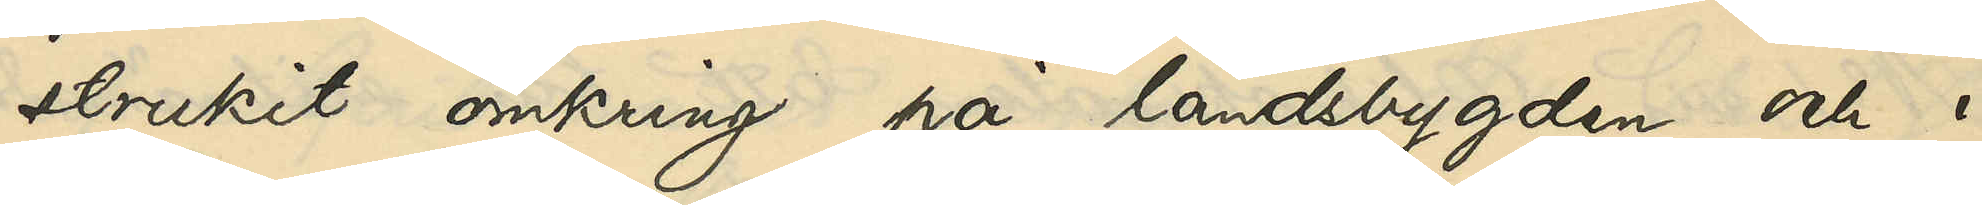strukit omkring på landsbygden och i
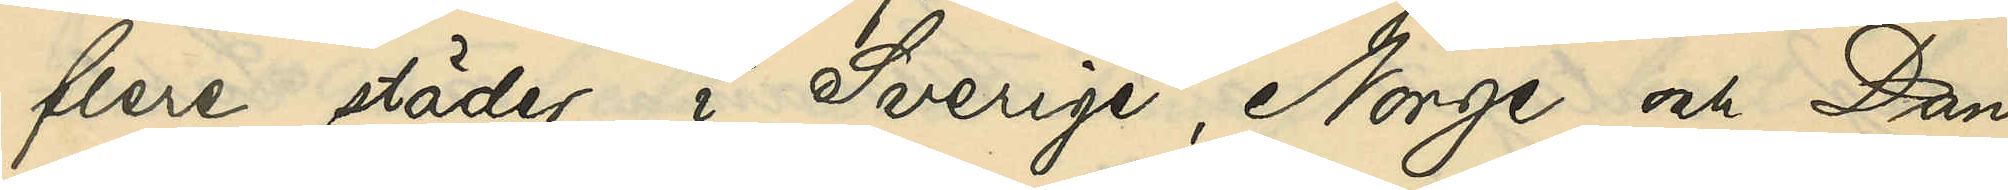flere städer i Sverige, Norge och Dan¬
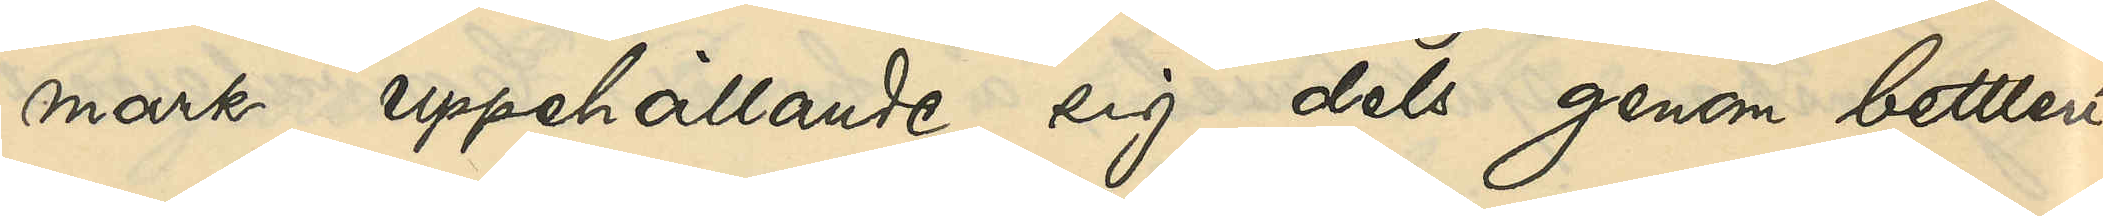mark uppehållande sig dels genom bettleri
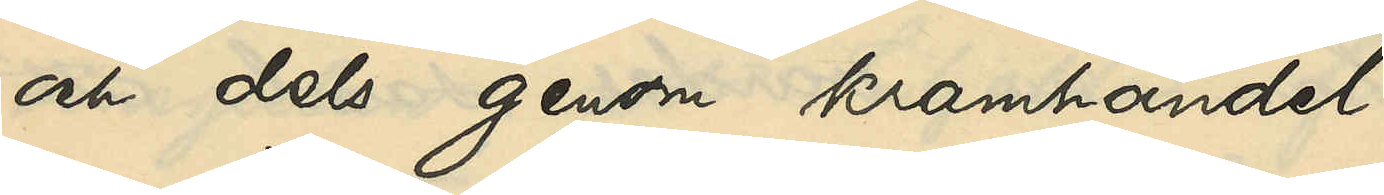och dels genom kramhandel.
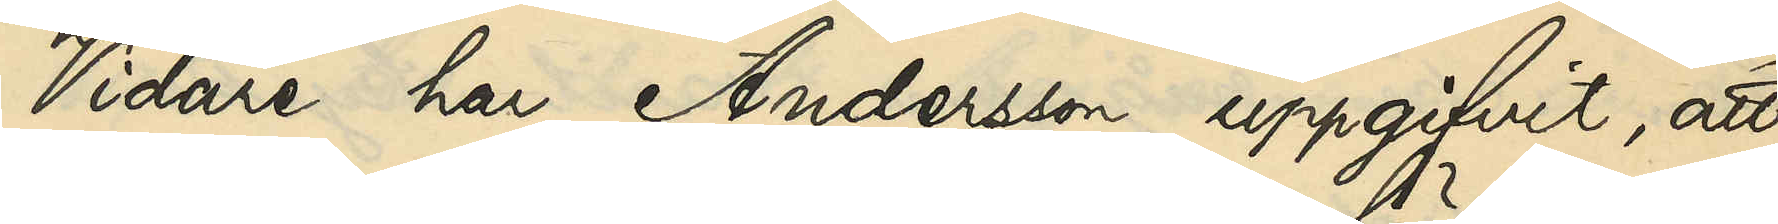Vidare har Andersson uppgifvit, att
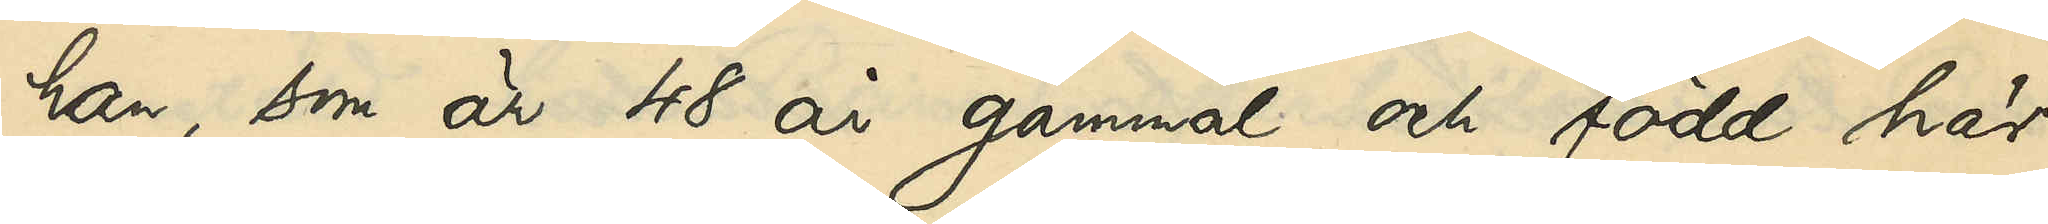han, som är 48 år gammal och född här
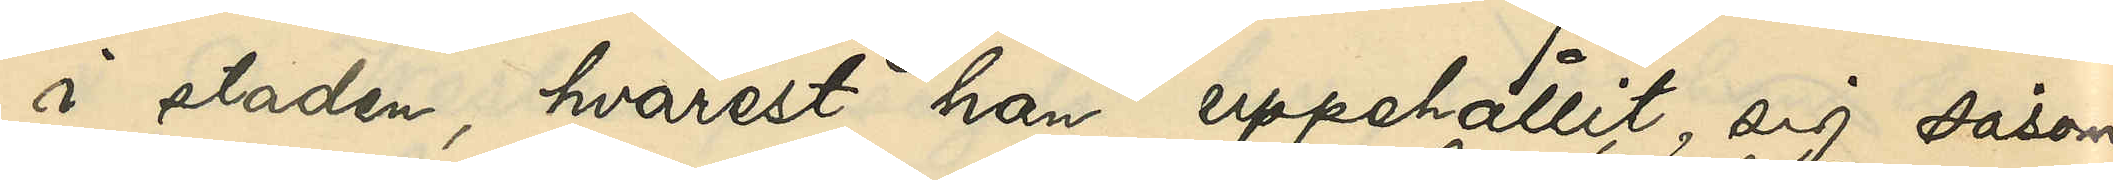i staden, hvarest han uppehållit sig såsom
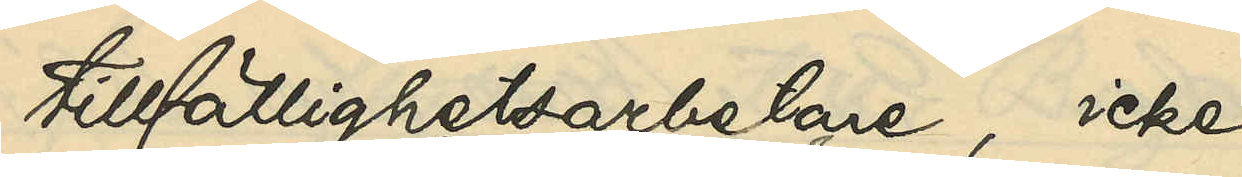tillfällighetsarbetare, icke
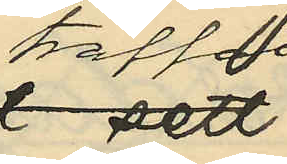träffat
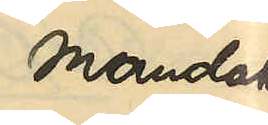Mandahl
